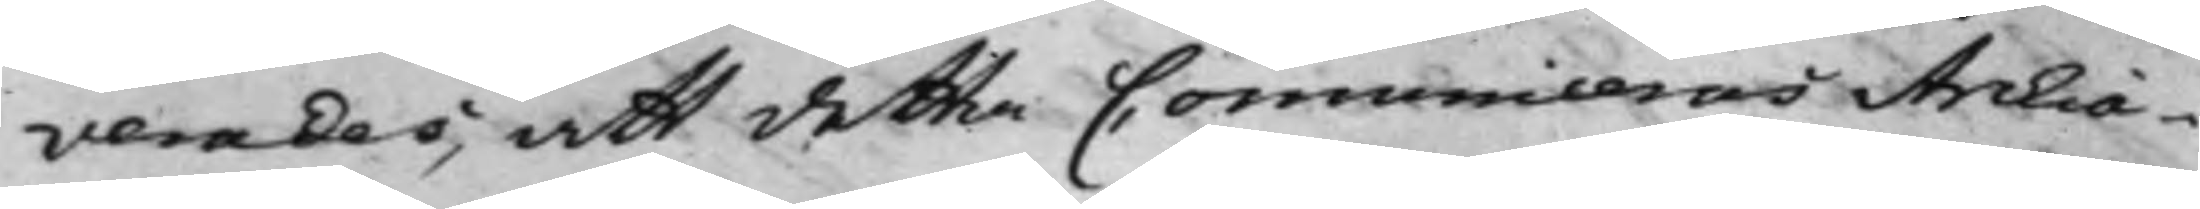verades, att detta Comuniceras Archia¬
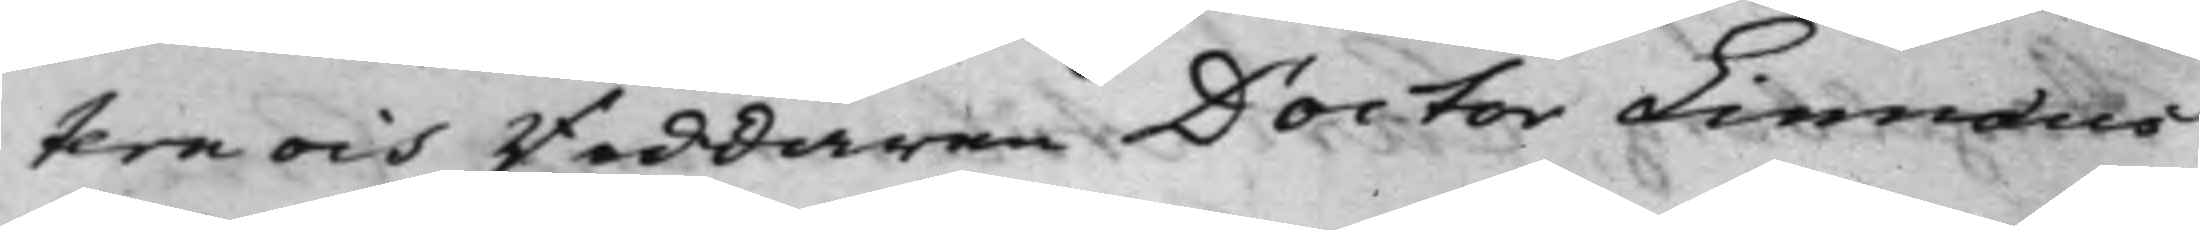tern och Riddaren Doctor Linnæus
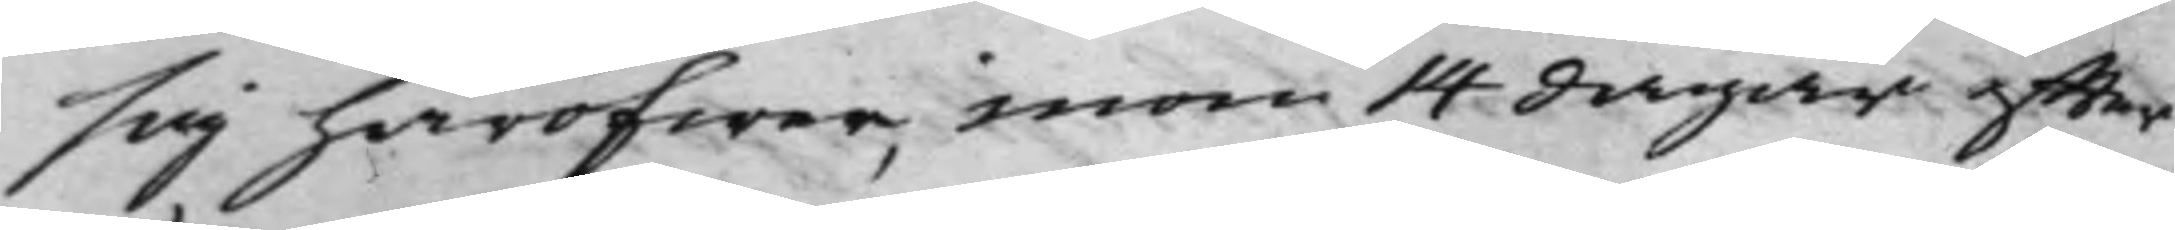sig häröfwer, inom 14 dagar effter
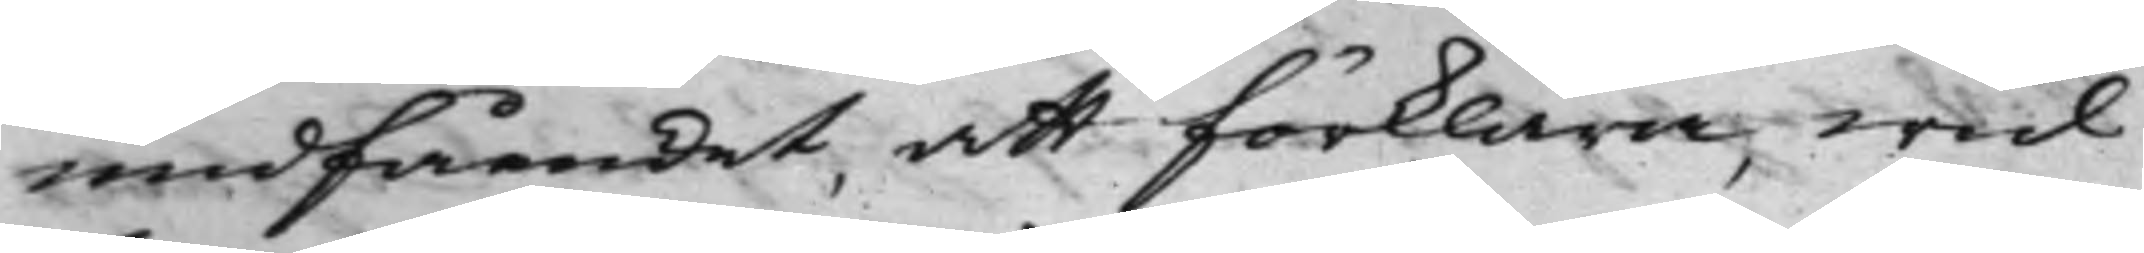undfåendet, att förklara, wid
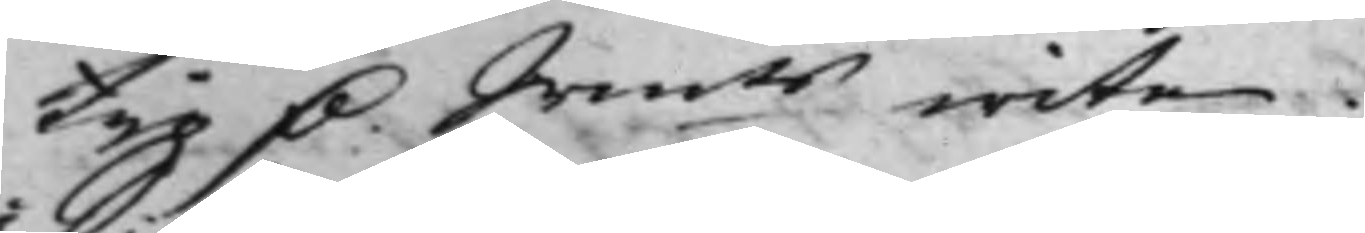tijo D. Srmts wite.
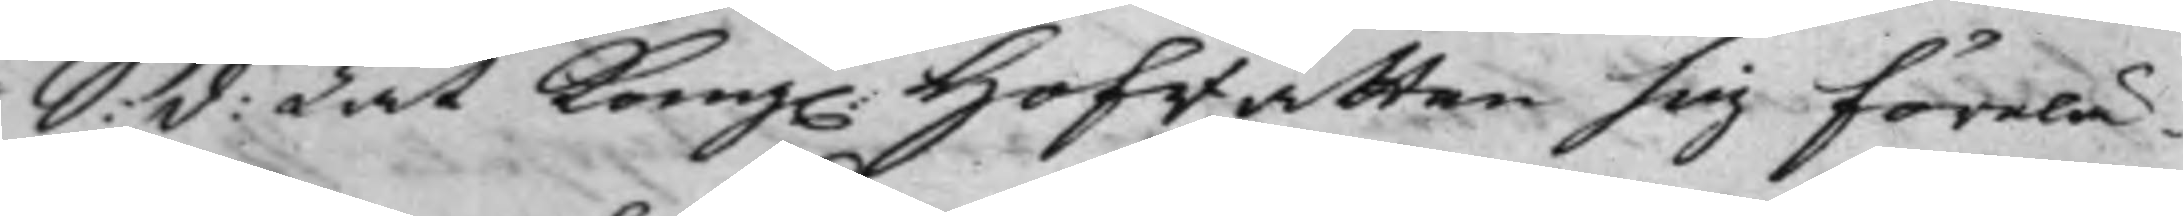S: d: Lät Kong. Hofrätten sig förelä¬
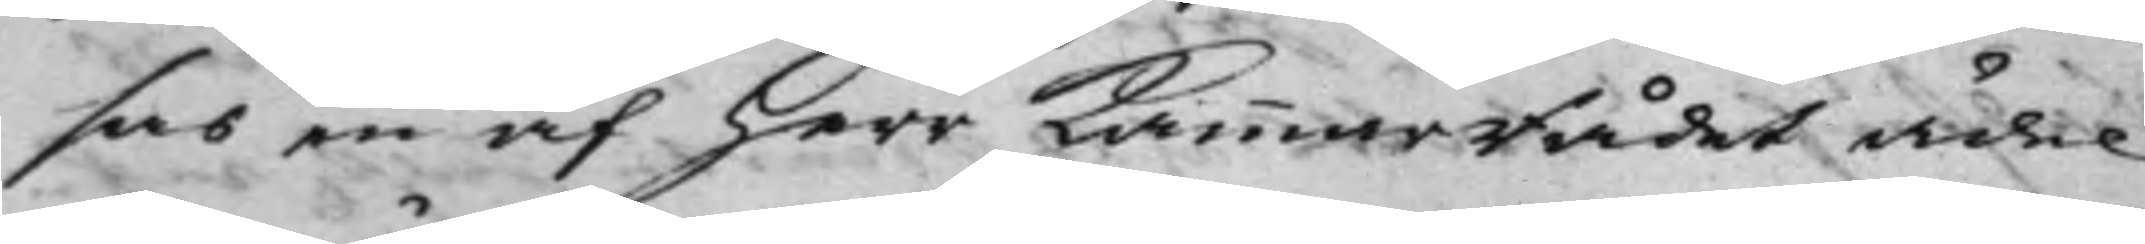sas en af Herr KammarRådet ädel
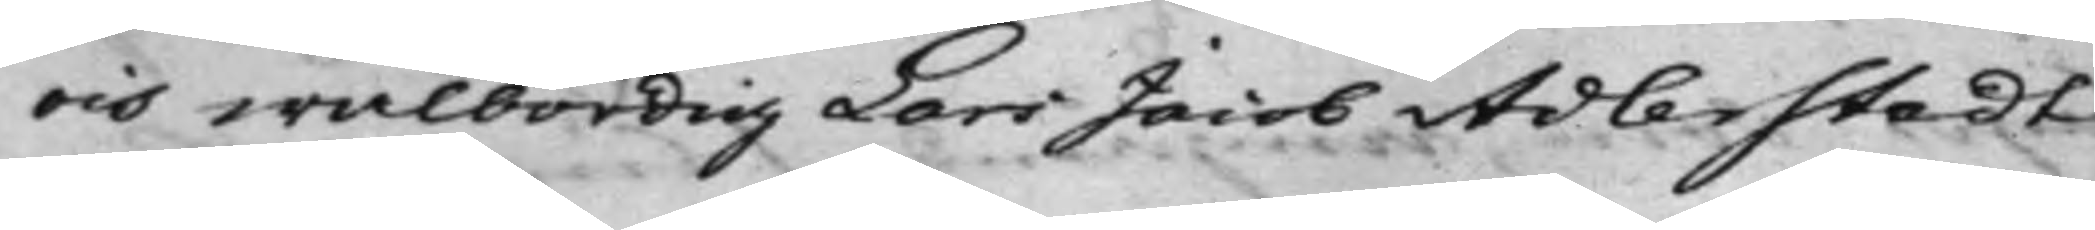och wälbördig Lars Jacob Adlerstedt
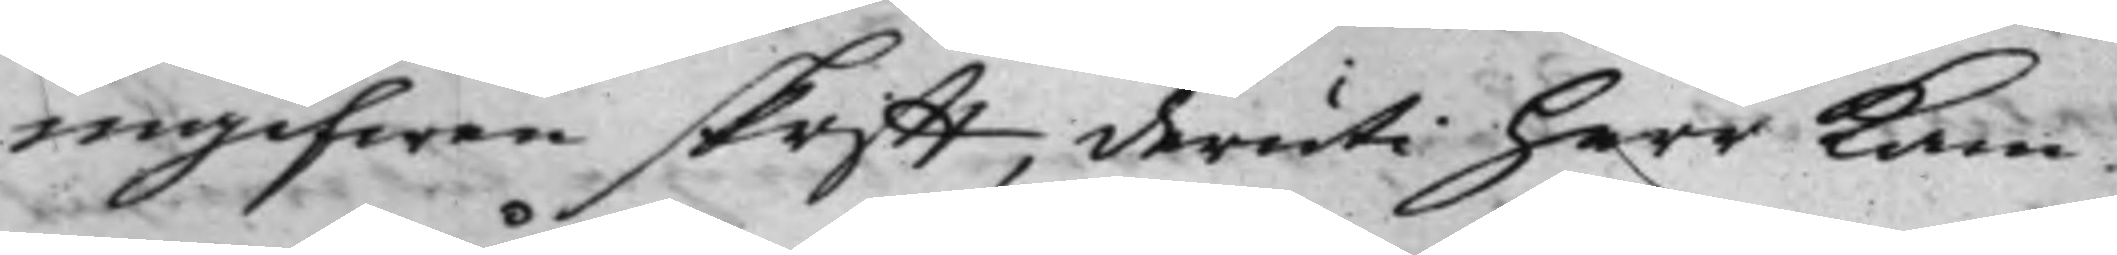ingifwen skrifft, deruti herr Kam¬
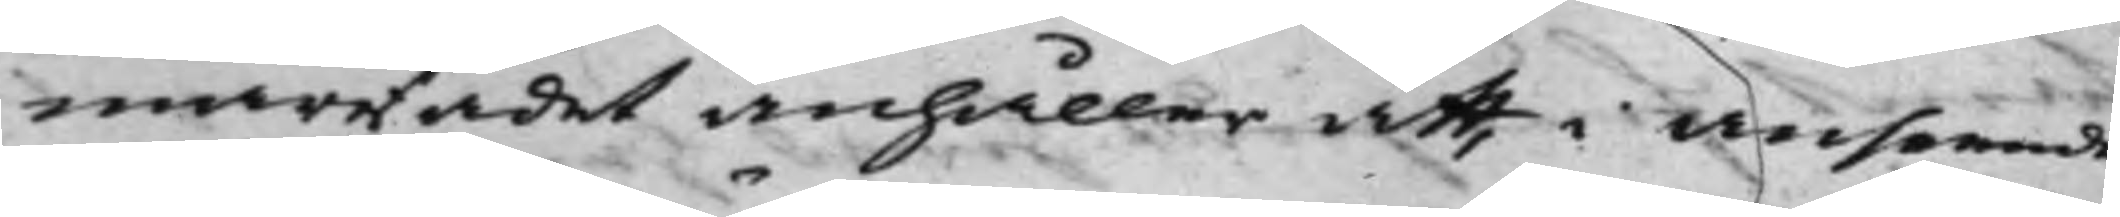marRådet anhåller att, i anseende
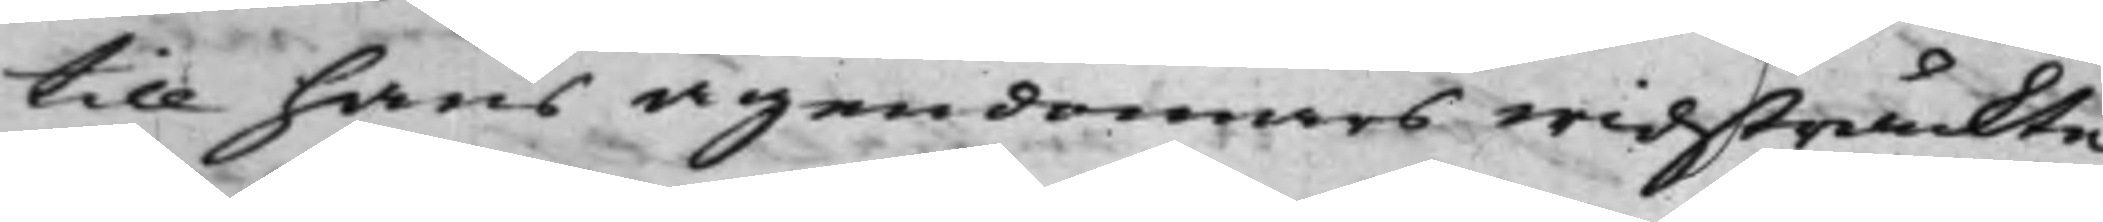till hans ägendomars widsträckte
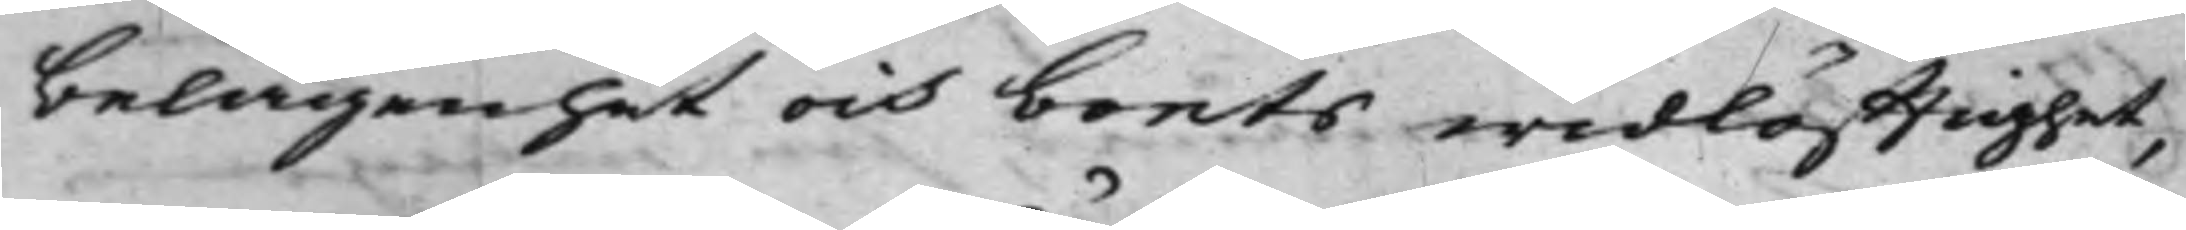belägenhet och boets widlöfftighet,
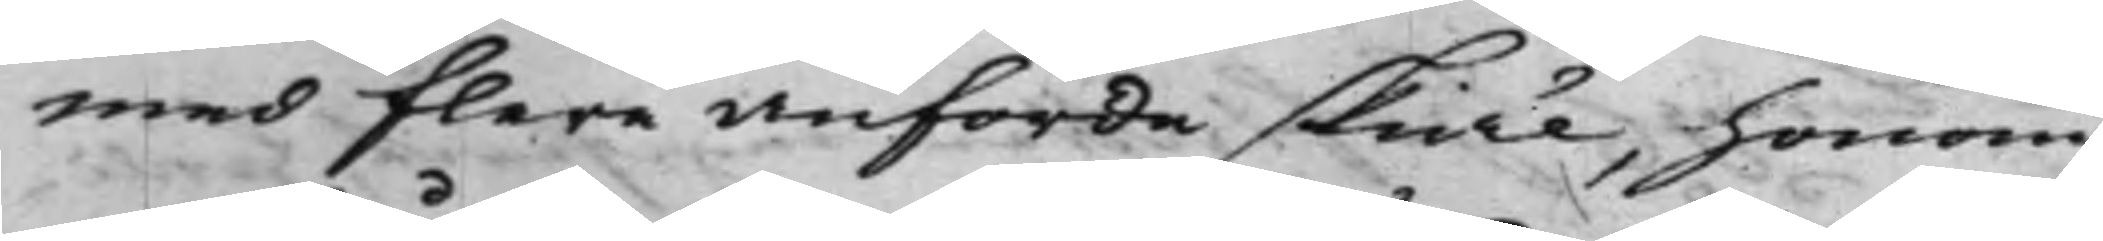med flere anförde skiäl, honom
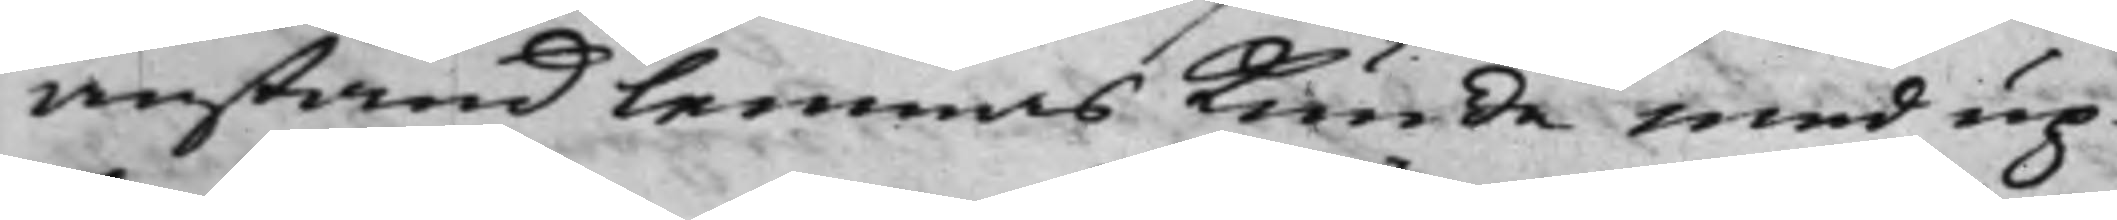anstånd lemnas Kunde med up¬
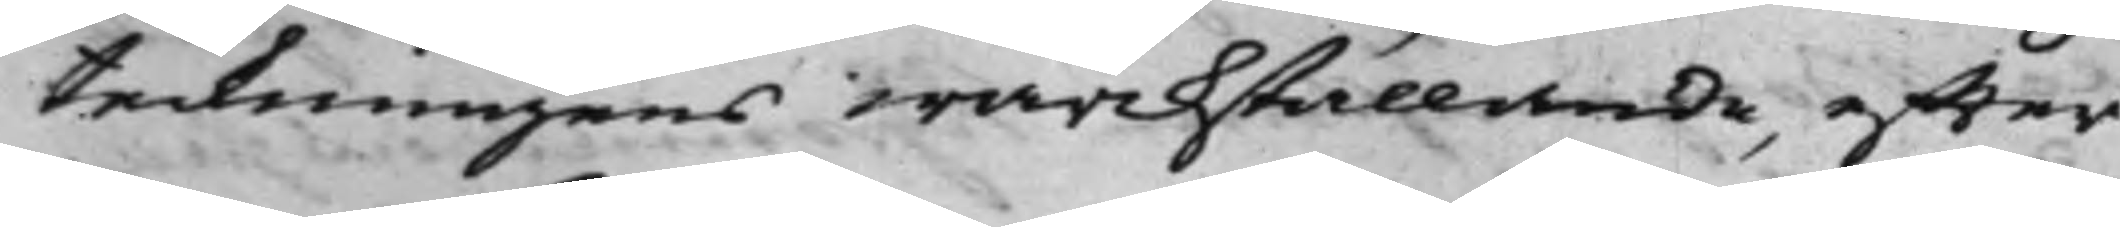teckningens wärckställande, effter
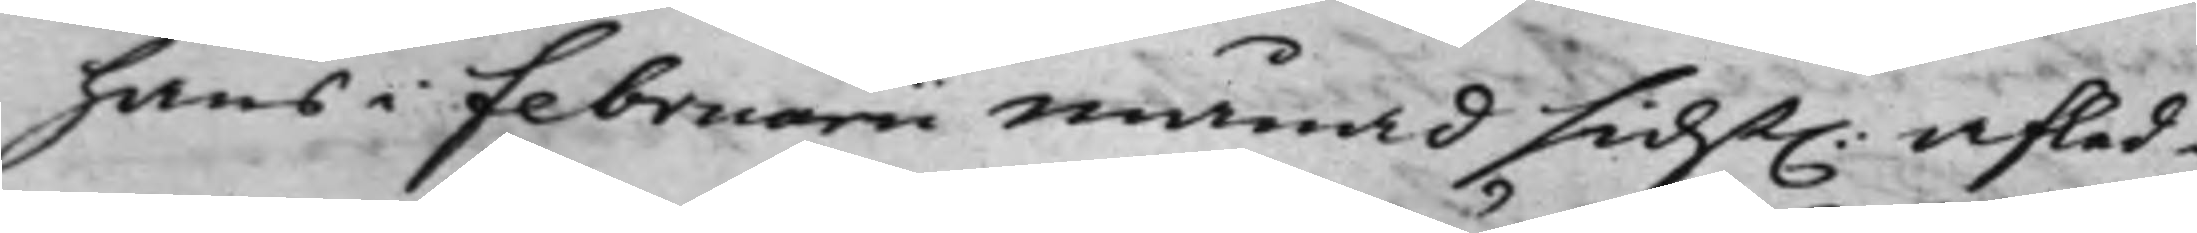hans i Februarii Månad sidst. afled¬
